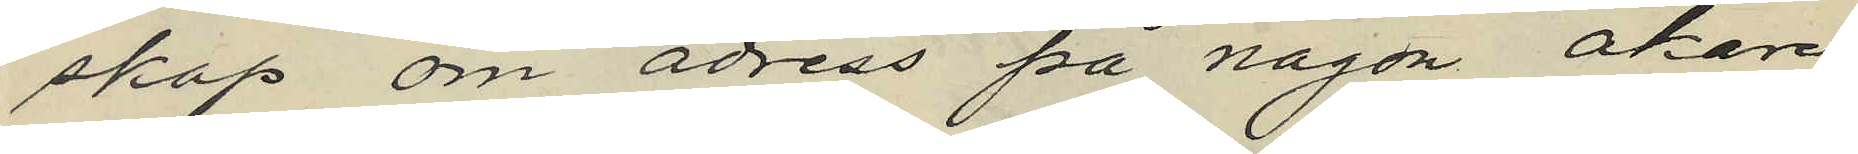skap om adress på någon åkare,
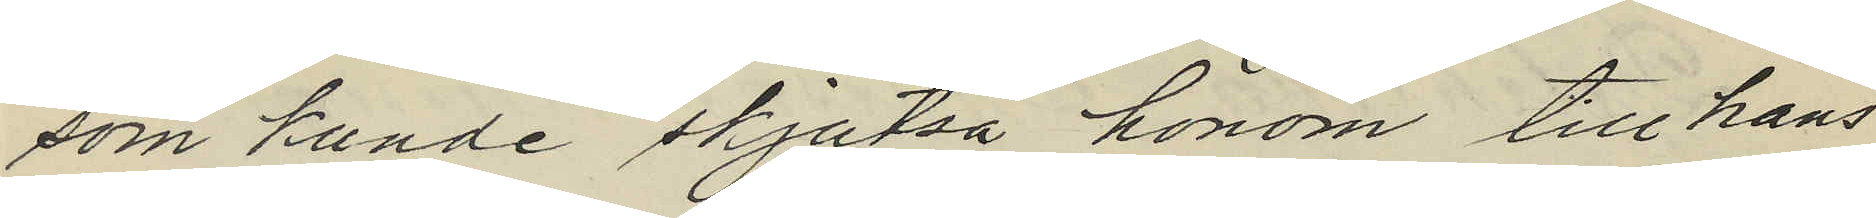som kunde skjutsa honom till hans
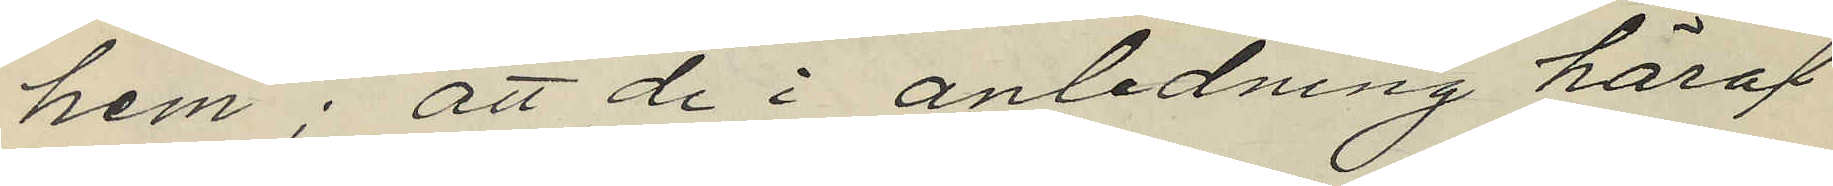hem; att de i anledning häraf
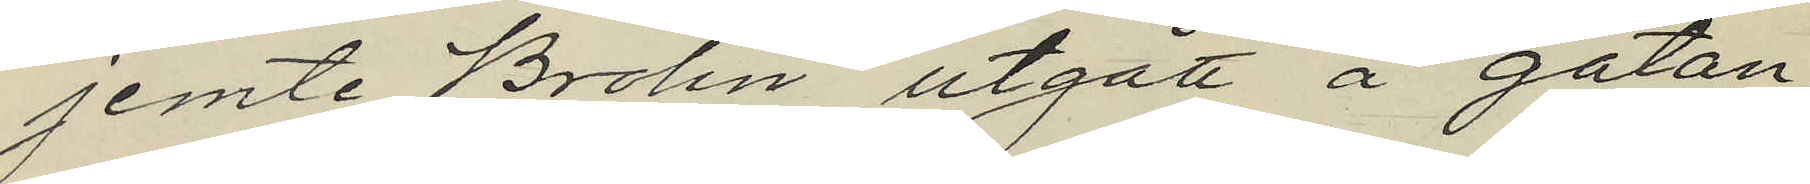jemte Brolin utgått å gatan
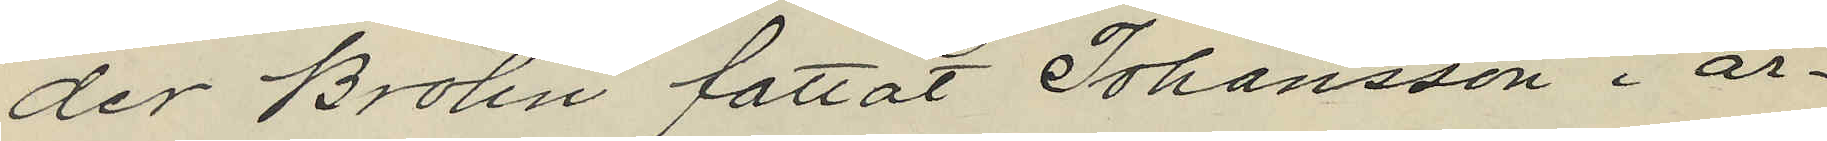der Brolin fattat Johansson i ar¬
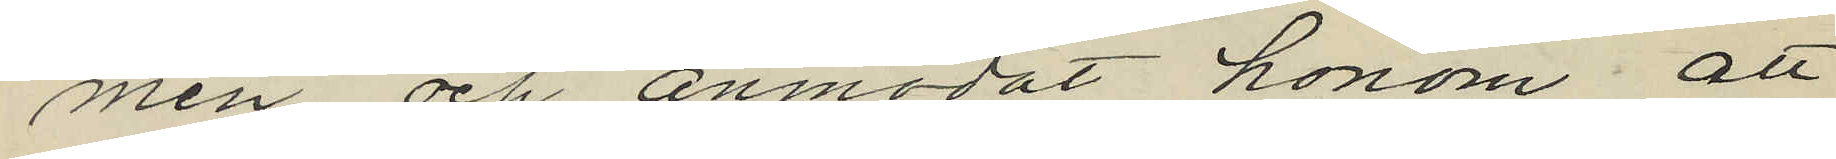men och anmodat honom att
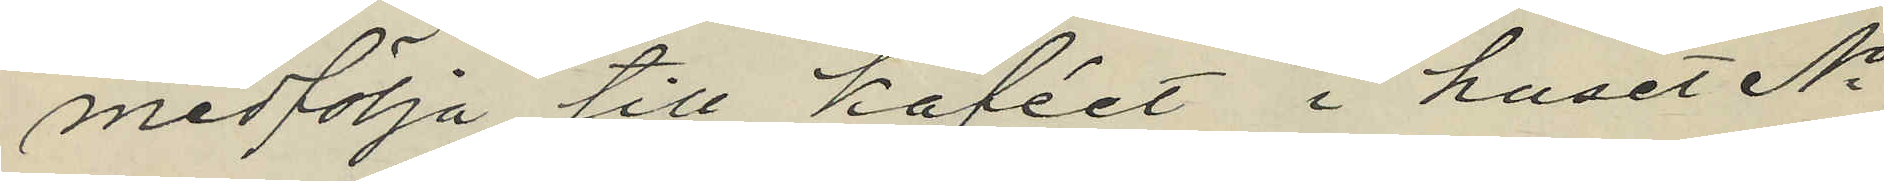medfölja till kaféet i huset No
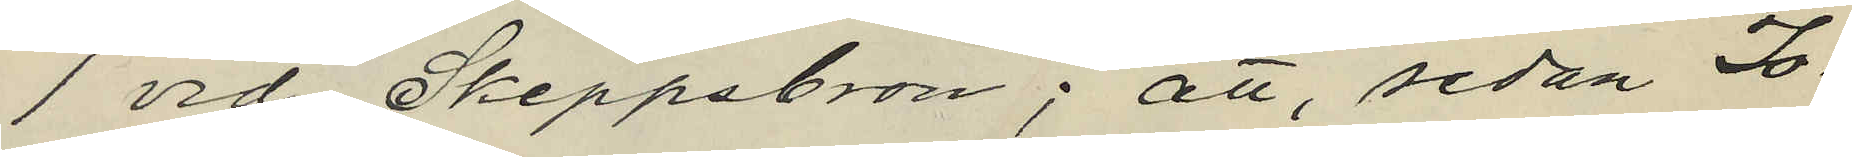1 vid Skeppsbron; att, sedan Jo¬
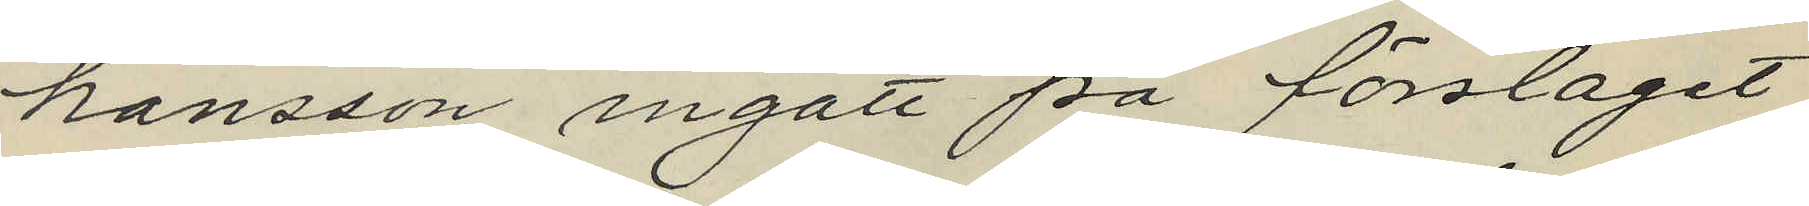hansson ingått på förslaget,
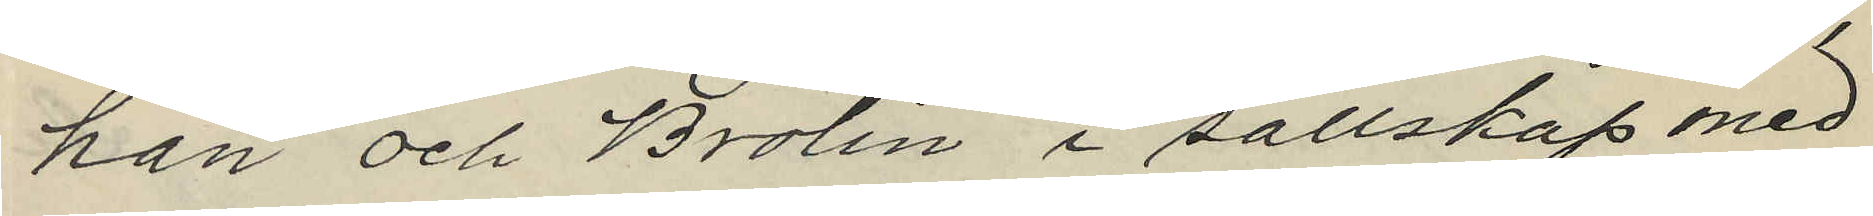han och Brolin i sällskap med
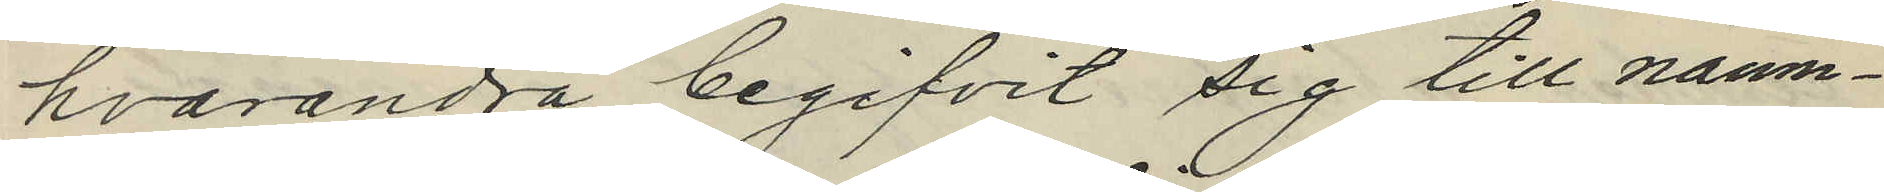hvarandra begifvit sig till nämn¬
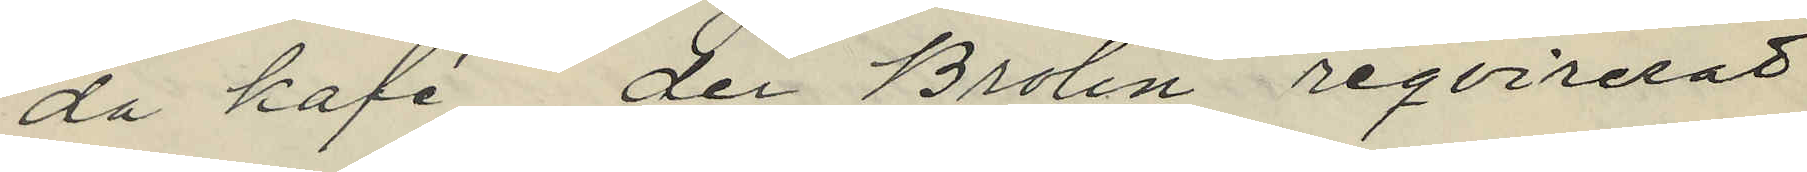da kafé, der Brolin reqvirerat
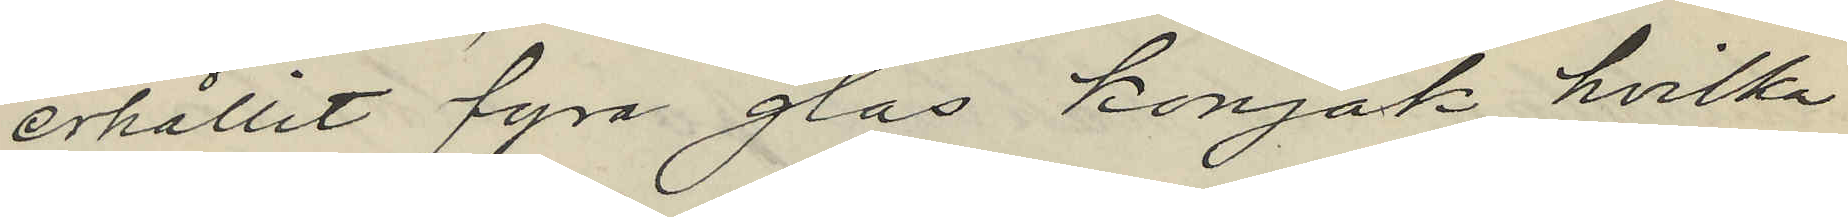erhållit fyra glas konjak, hvilka
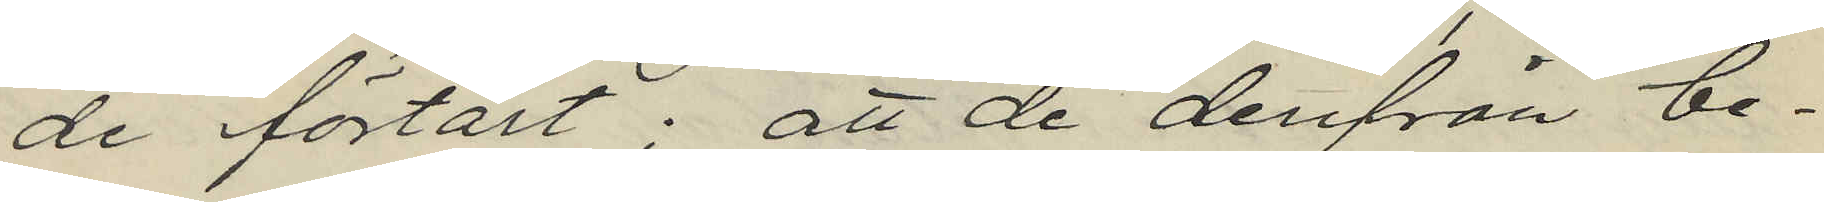de förtärt; att de derifrån be¬
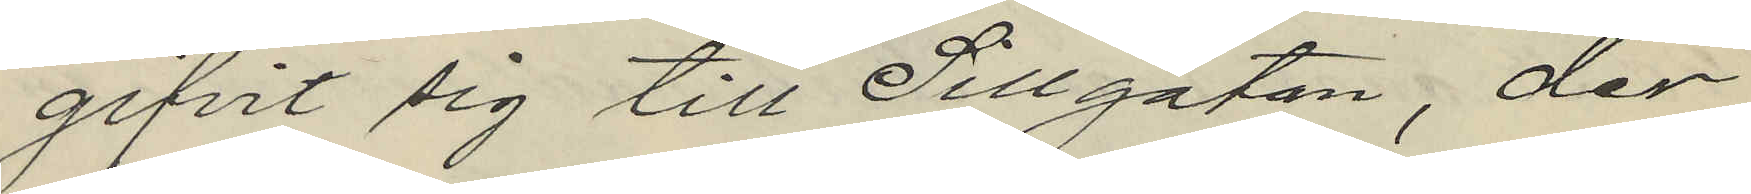gifvit sig till Sillgatan, der
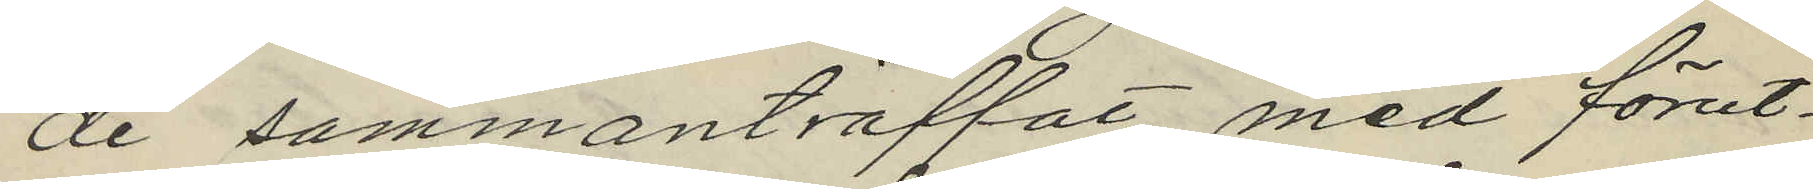de sammanträffat med förut¬
